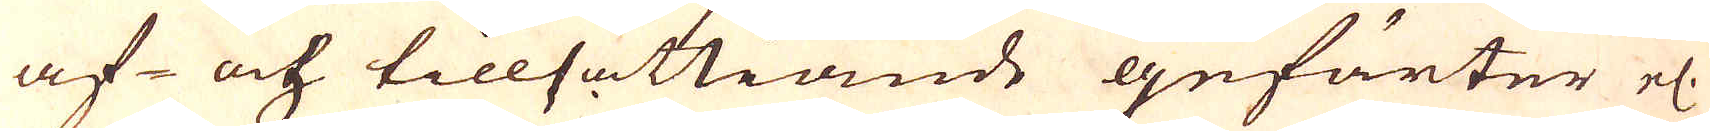af- och tillsättiande gefärter el.
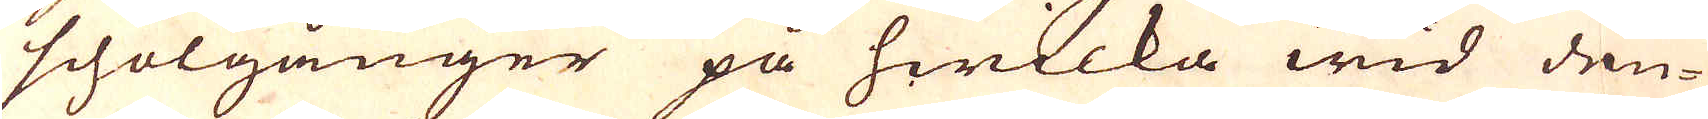schölgånger på hwilka wid den-
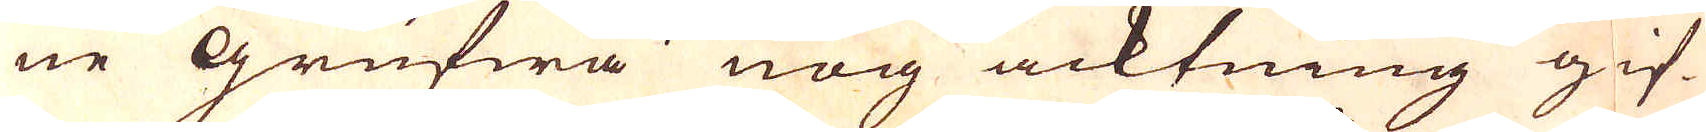ne Grufwa nog acktning gif-
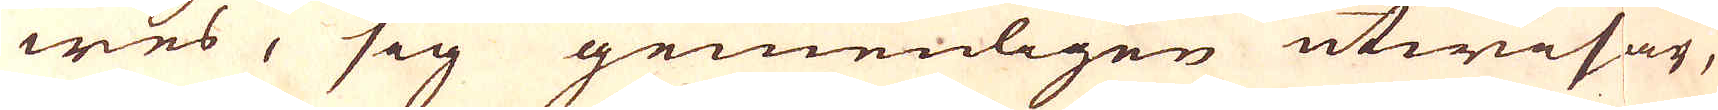wes, sig gemenligen utwisar,
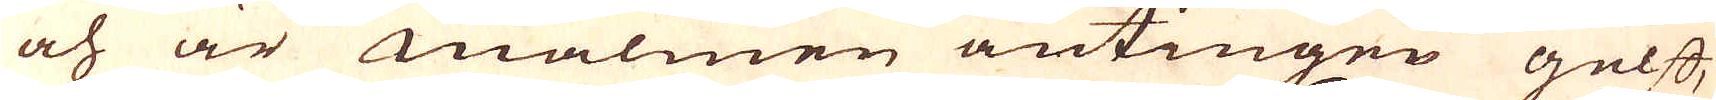och är malmen antingen gelff,
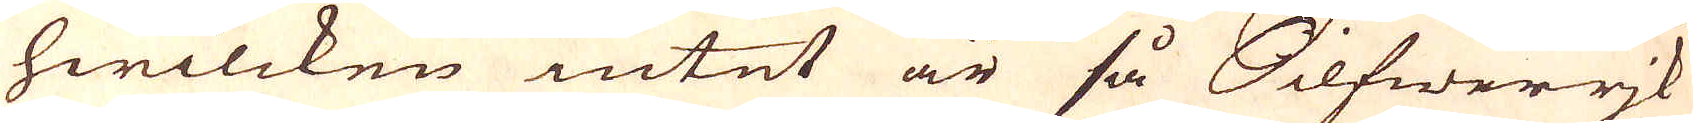hwilcken intet är så Silfwerrjk
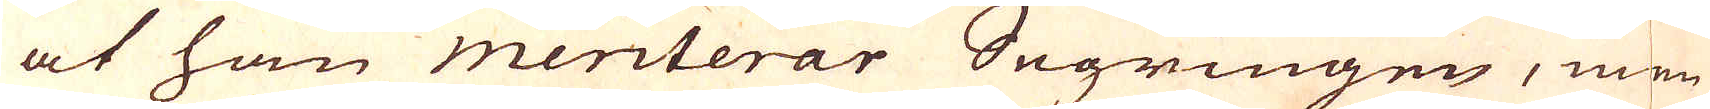at han meriterar Segringen, men
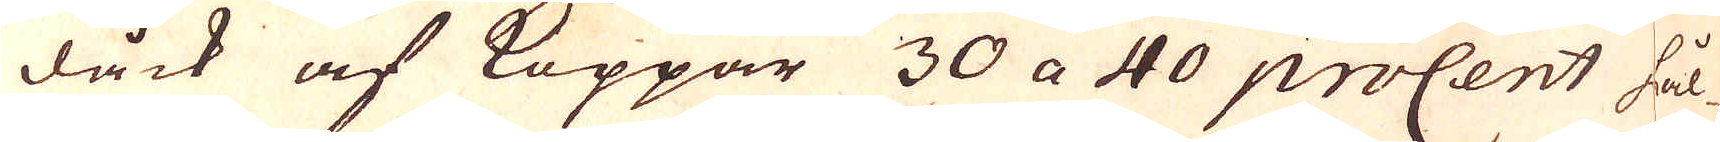dåck af Koppar 30 a 40 proCent hål-
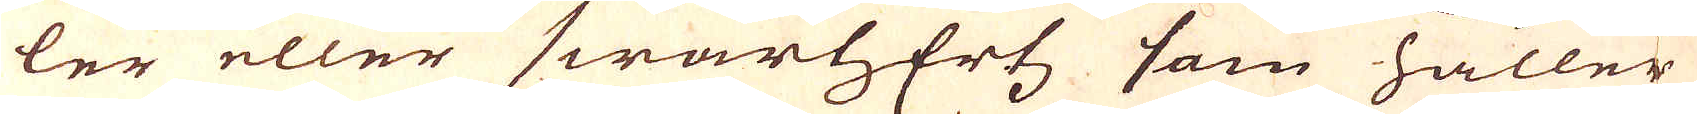ler eller swartzErtz som håller
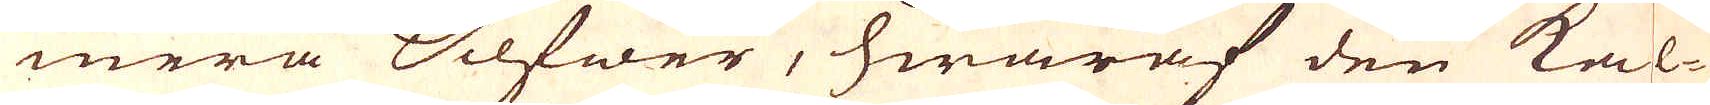mera Silfwer, hwaraf den kal-
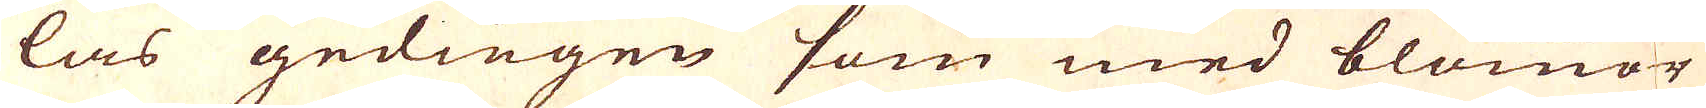las gedingen som med blommor
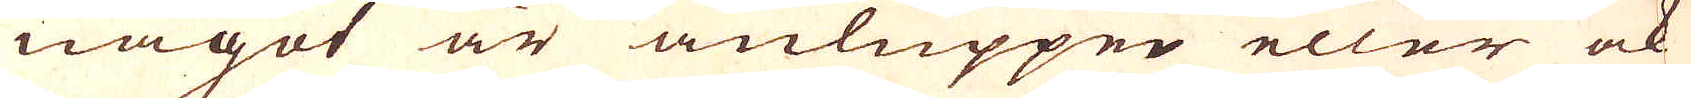något är anluppen eller ock
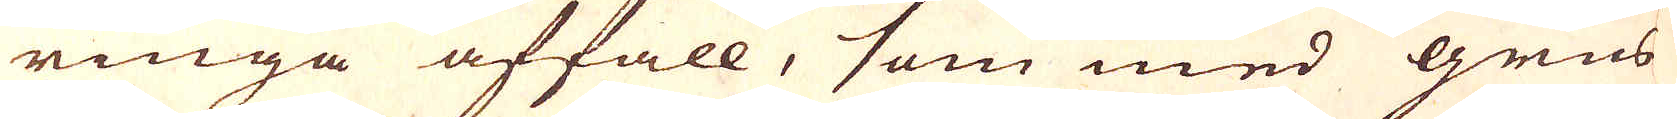ringa affall, som med grus
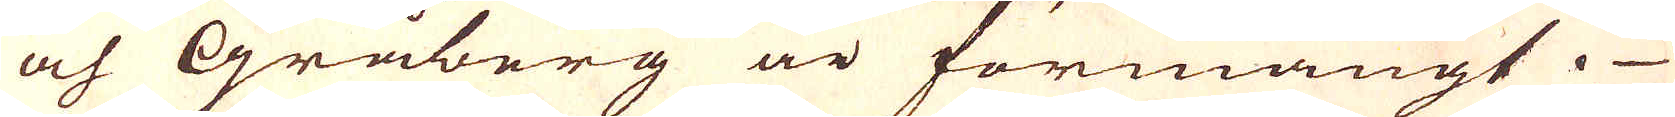och Gråberg är förmängt.
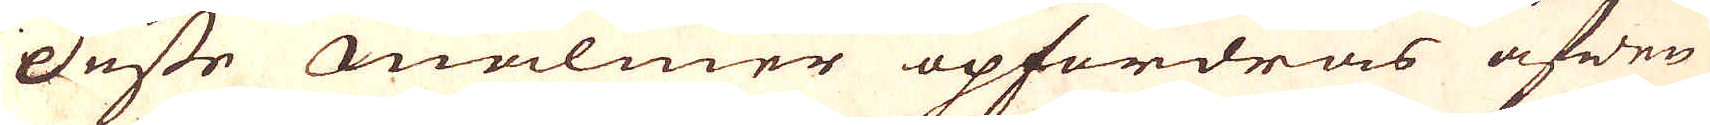Desse malmer opfordras äfwen
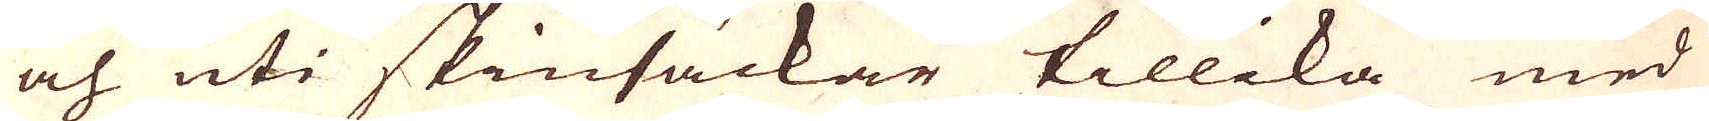och uti skinsäckar tillika med
